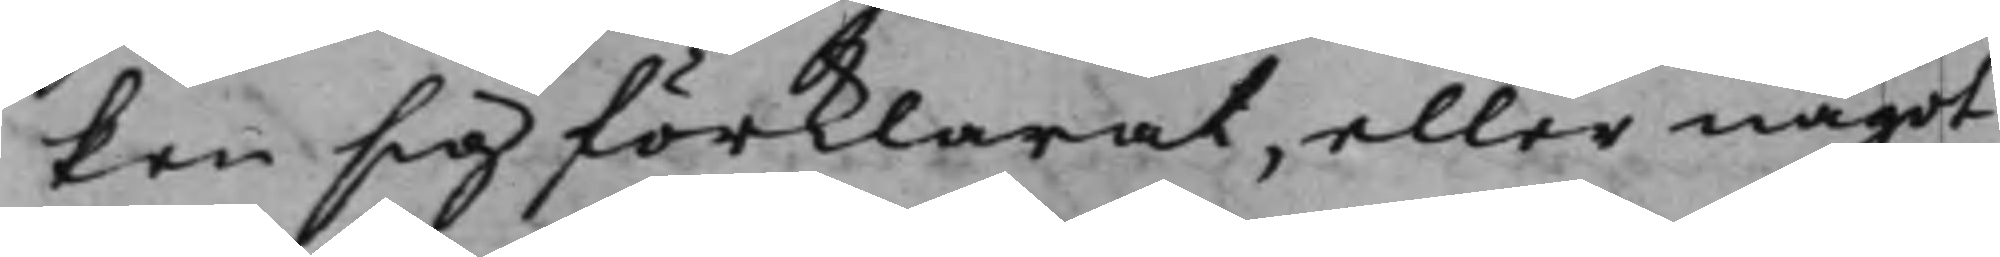ken sig förklarat, eller något
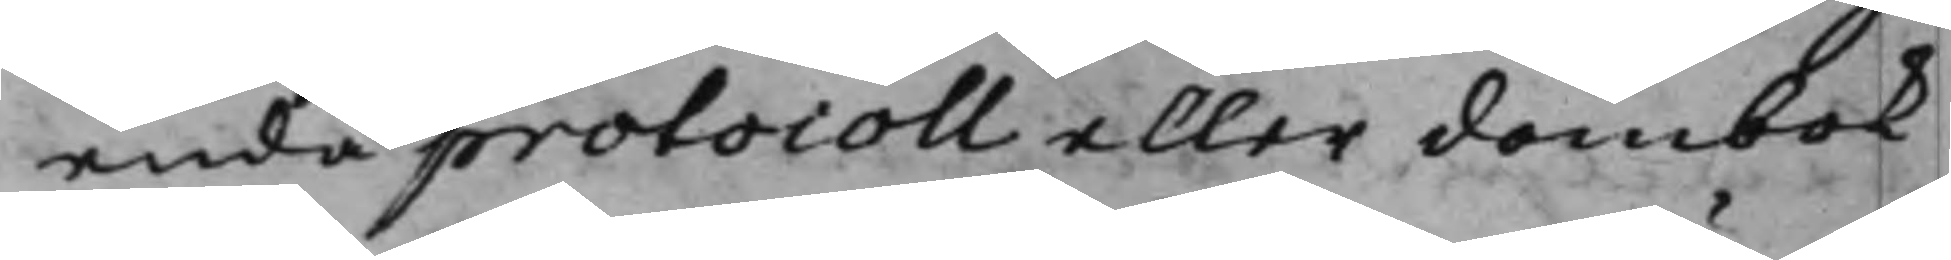enda protocoll eller dombok
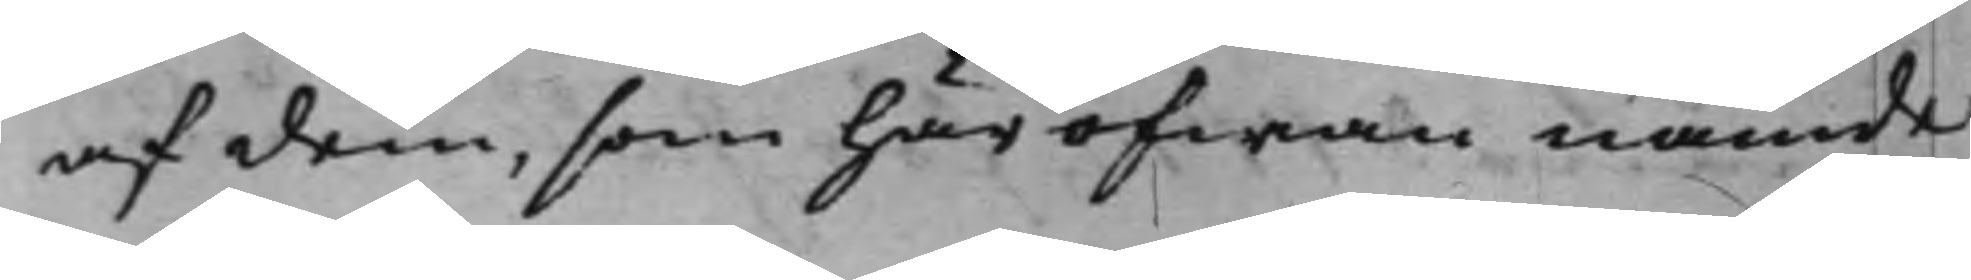af dem, som här ofwan nämde
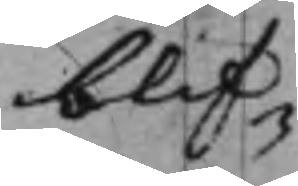blif¬
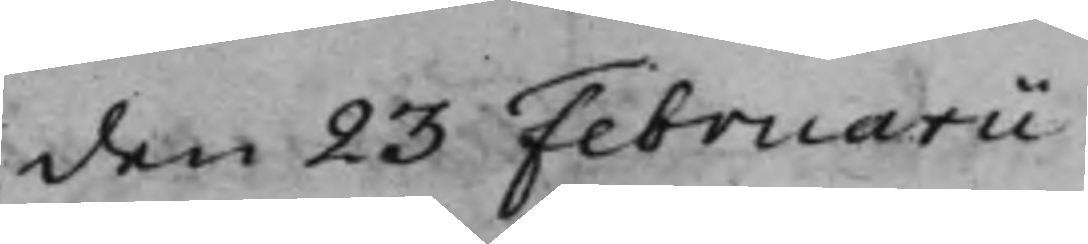den 23 Februarii
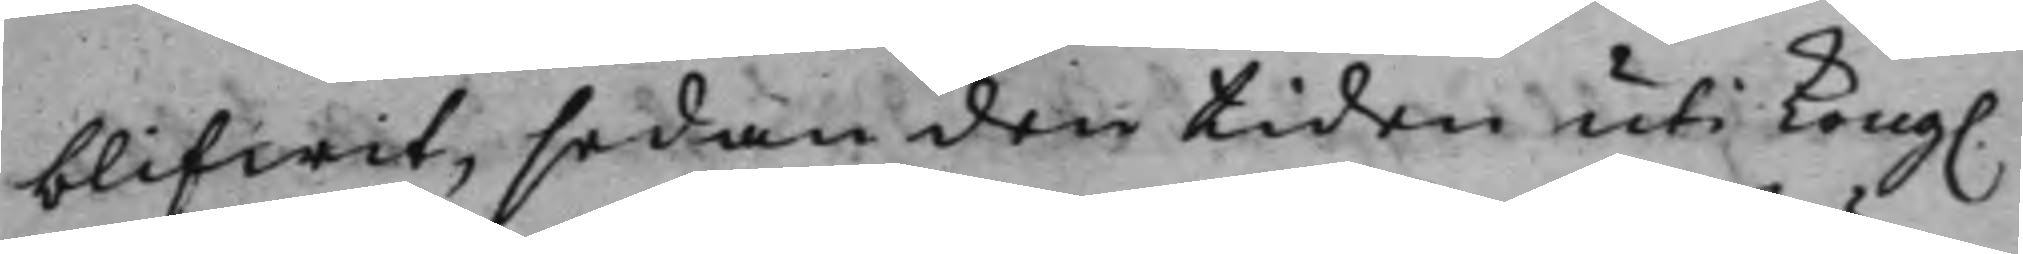blifwit, sedan den tiden uti Kong.
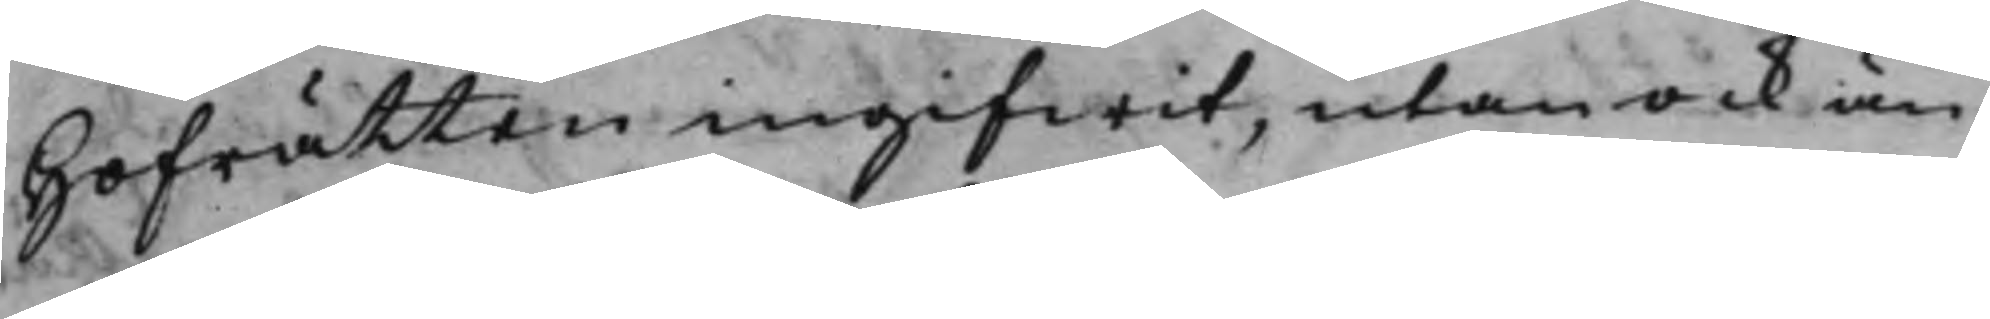Hofrätten ingifwit, utan ock än
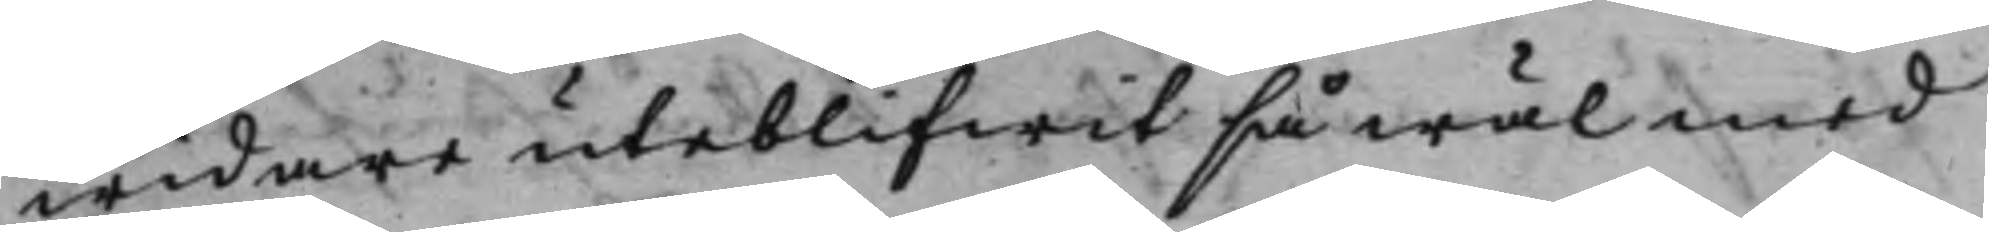widare uteblifwit så wäl med
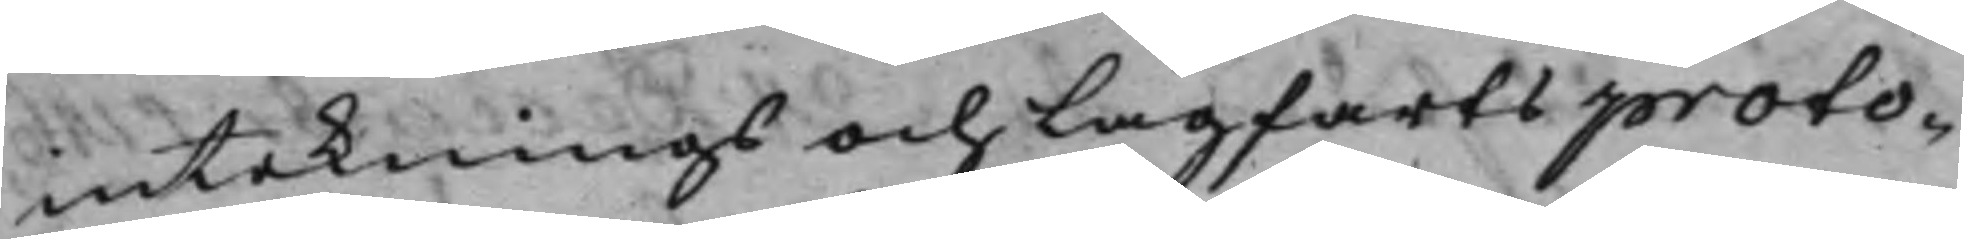intecknings och Lagfartsproto¬
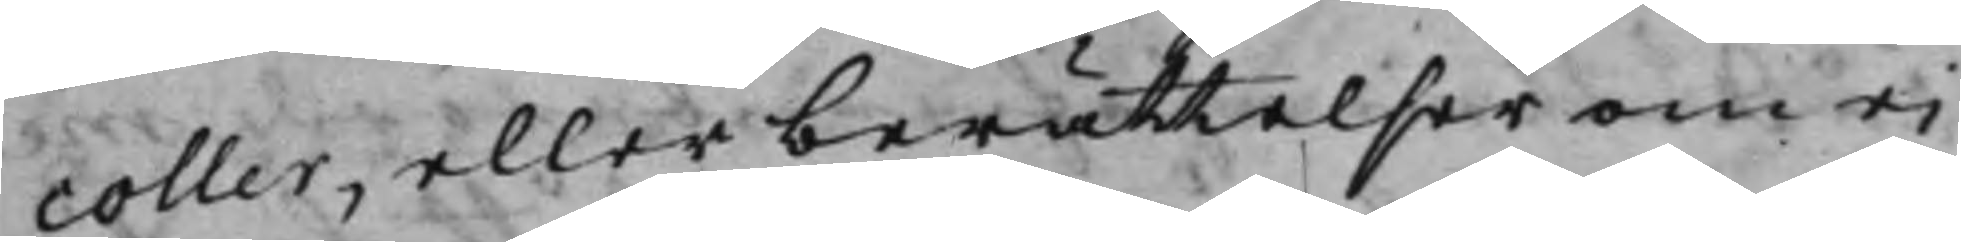coller, eller berättelser om ei
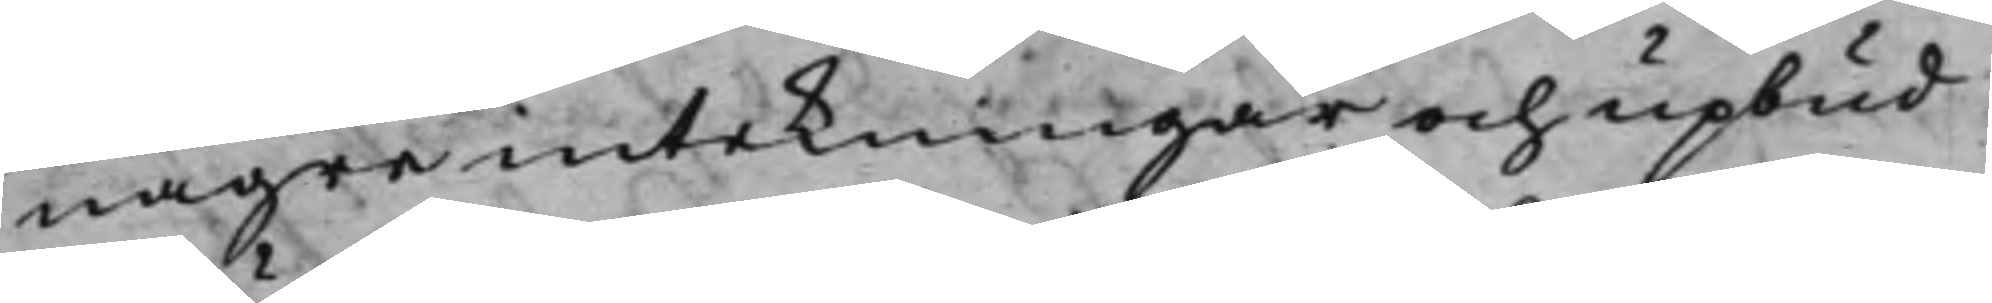någre intekningar och upbud
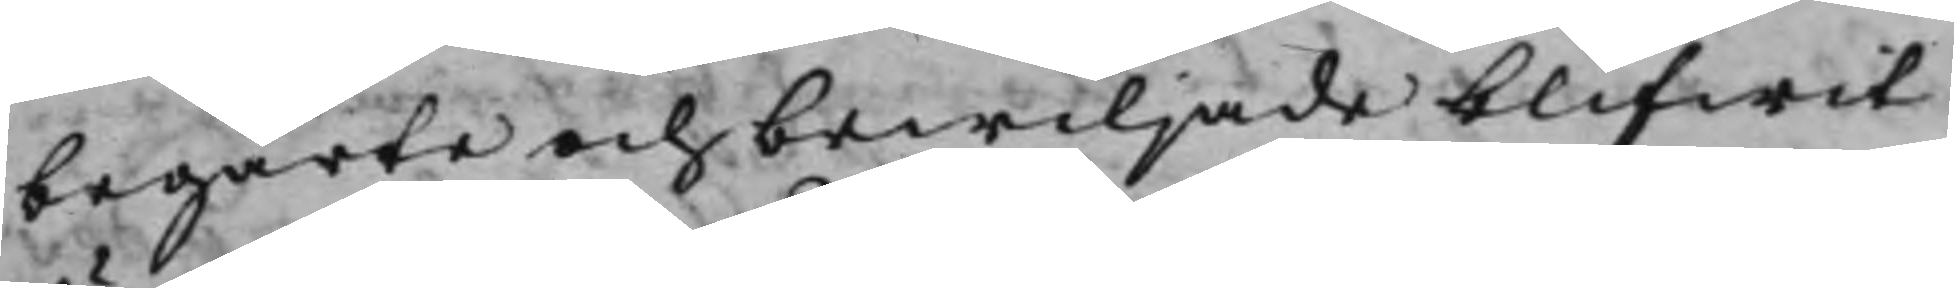begärte och bewiljade blifwit
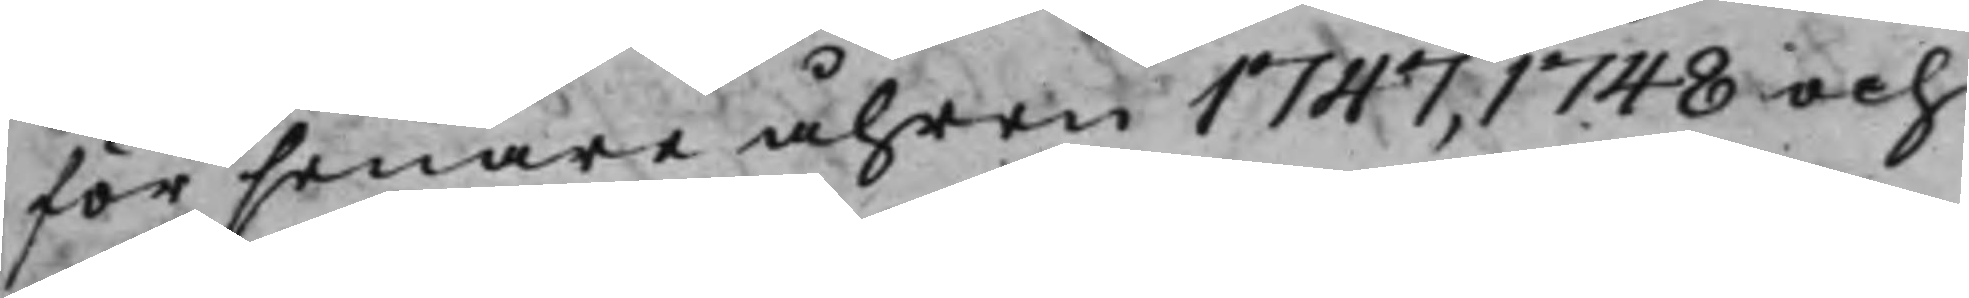för senare åhren 1747, 1748 och
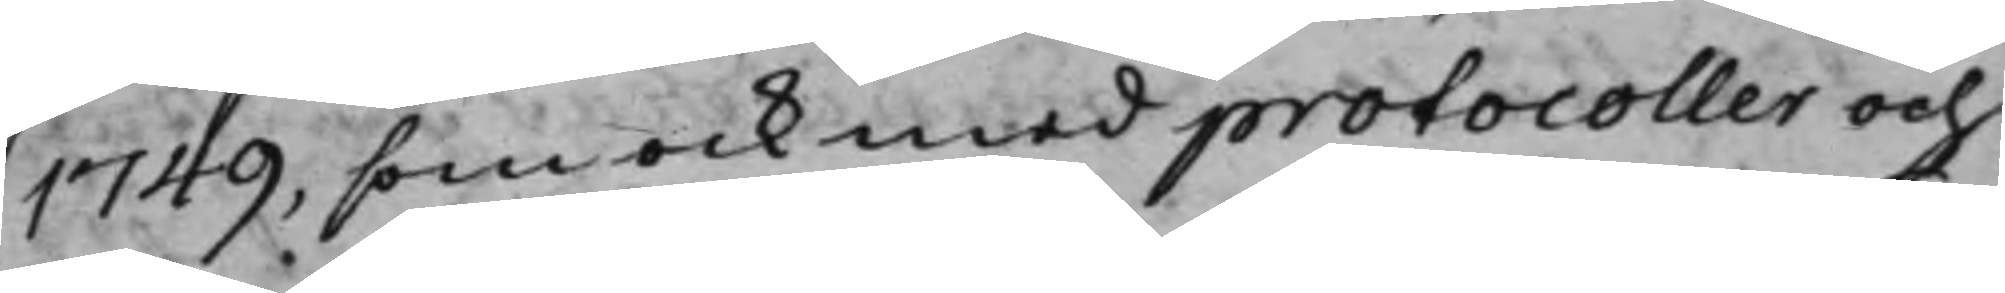1749, som ock med protocoller och
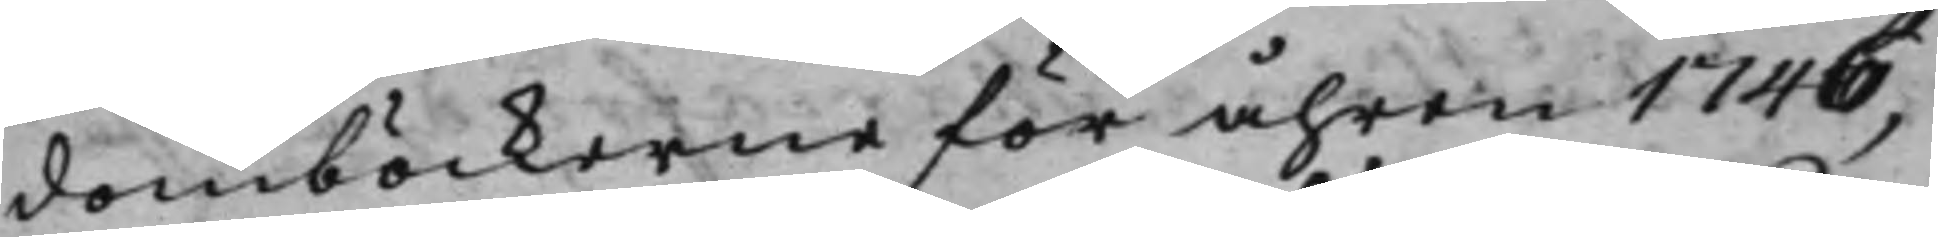domböckerne för åhren 1746,
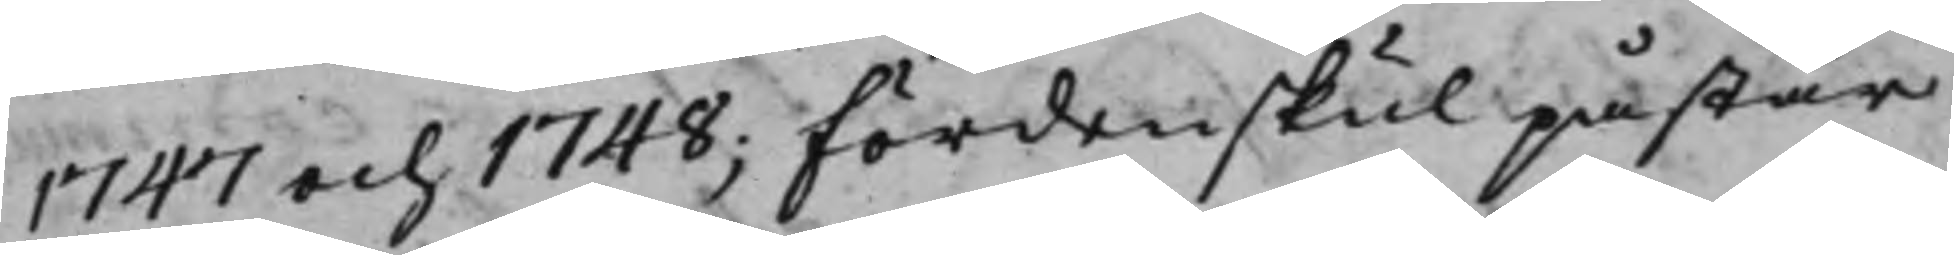1748 och 1748; Fördenskul påstår
